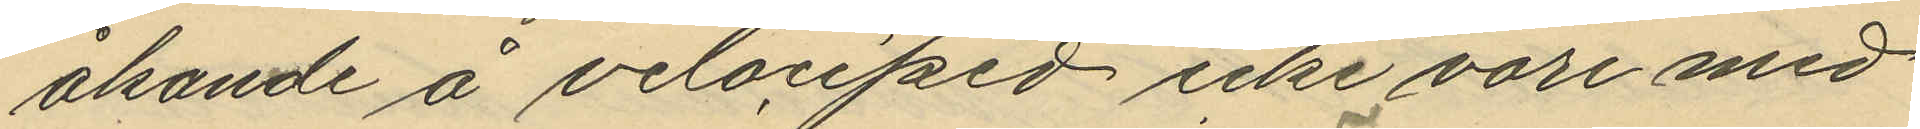åkande å velociped icke vore med
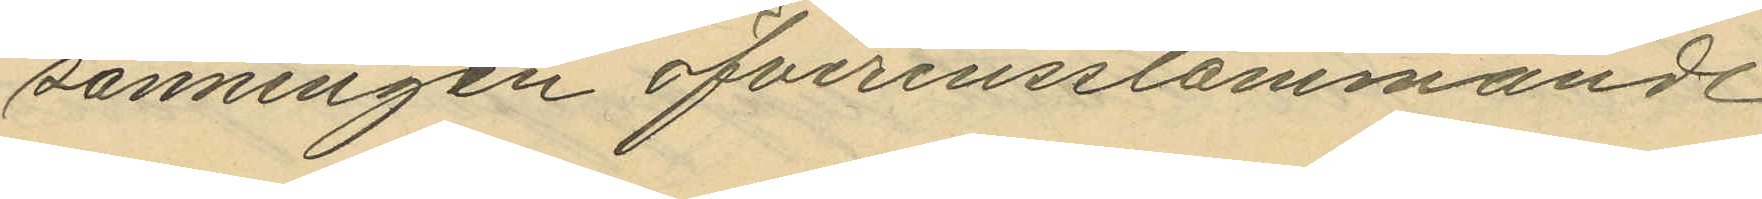sanningen öfverensstämmande
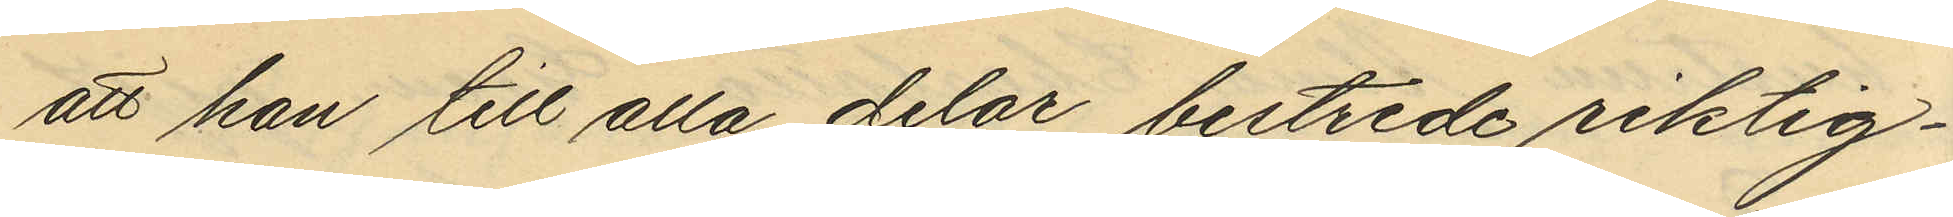att han till alla delar bestride riktig¬
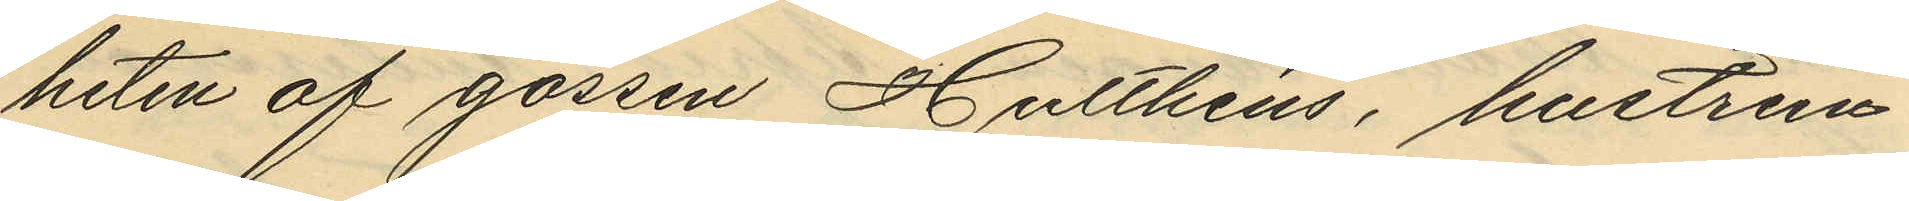heten af gossen Hulthén, hustrun
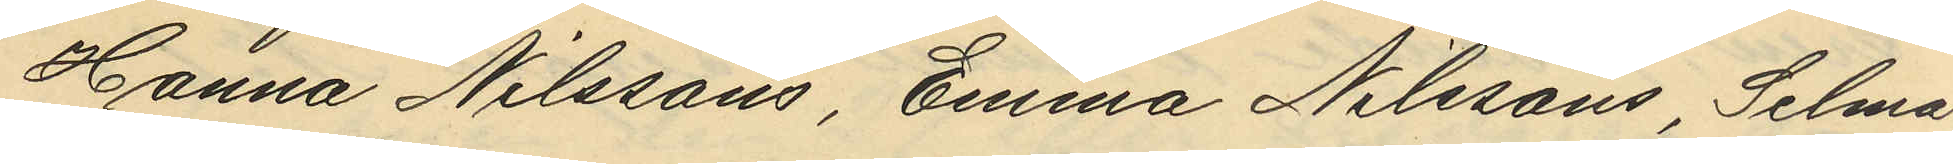Hanna Nilssons, Emma Nilssons, Selma
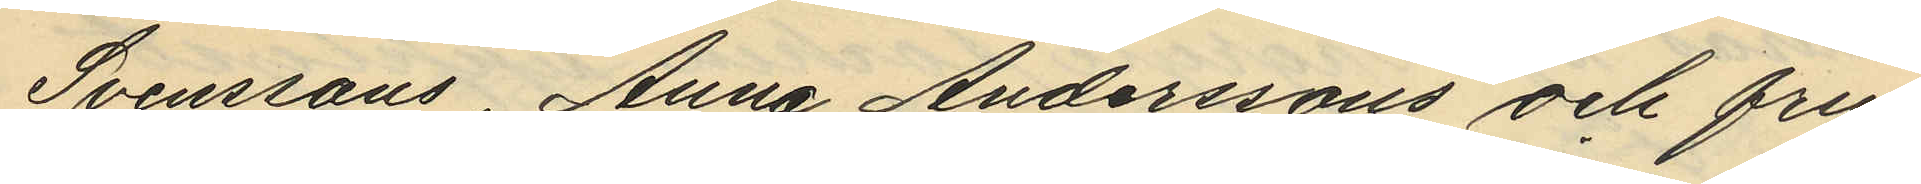Svenssons, Anna Anderssons och fru
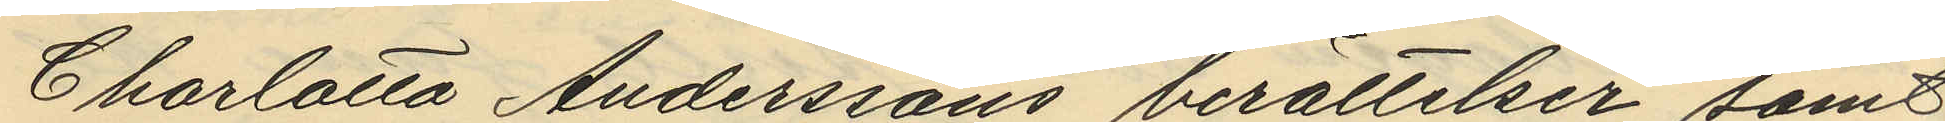Charlotta Anderssons berättelser samt
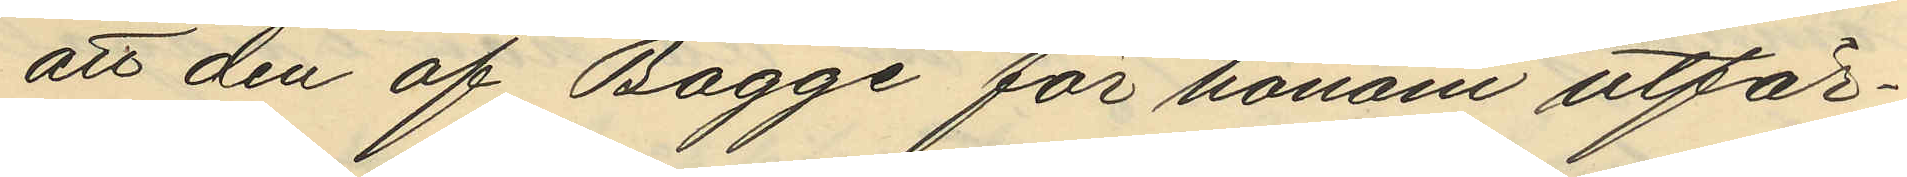att den af Bagge för honom utfär¬
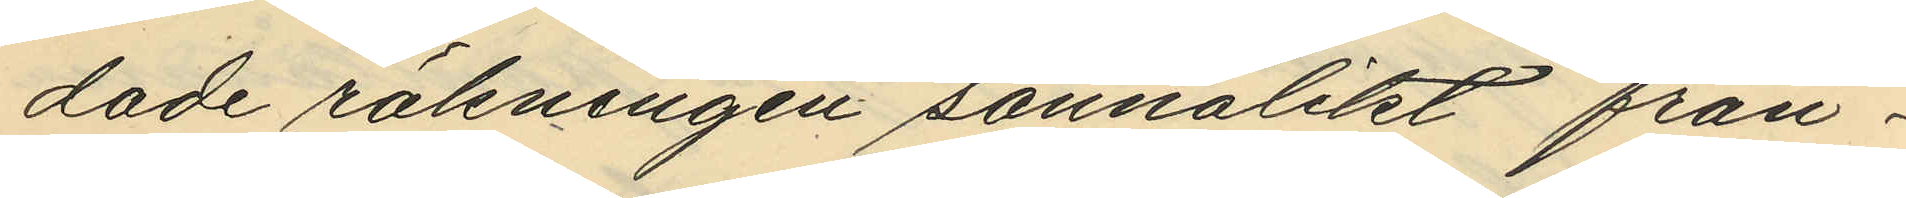dade räkningen sannolikt från¬
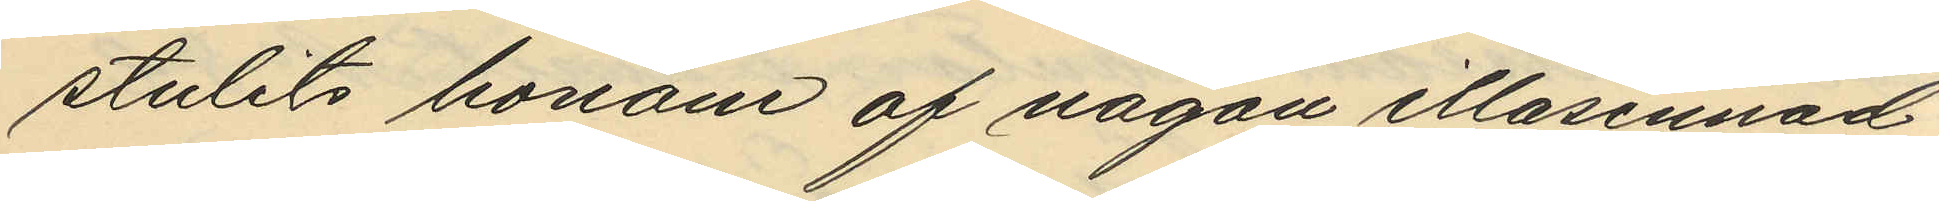stulits honom af någon illasinnad
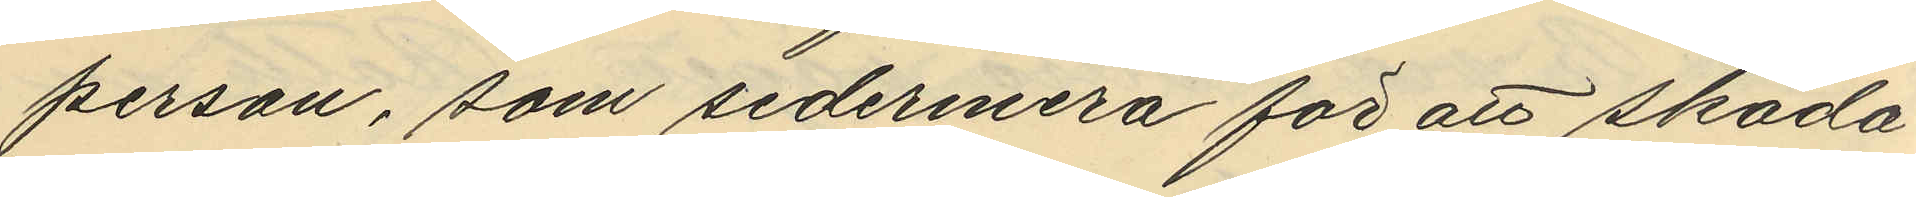person, som sedermera för att skado
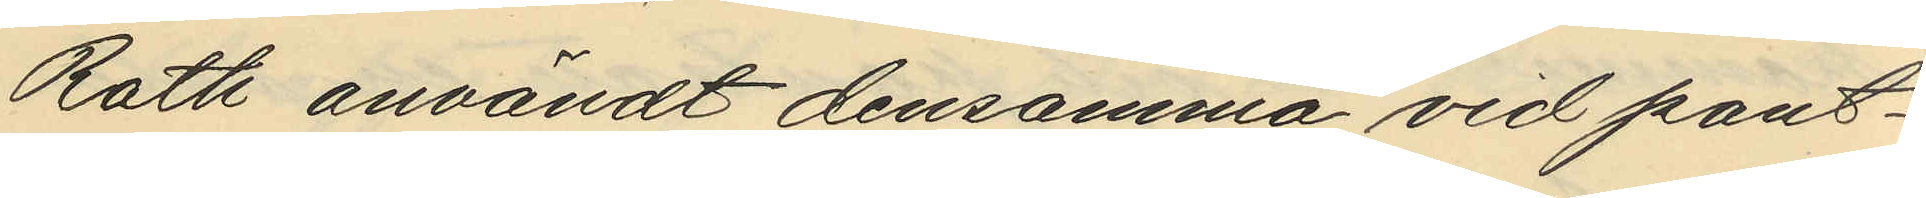Roth användt densamma vid pant¬
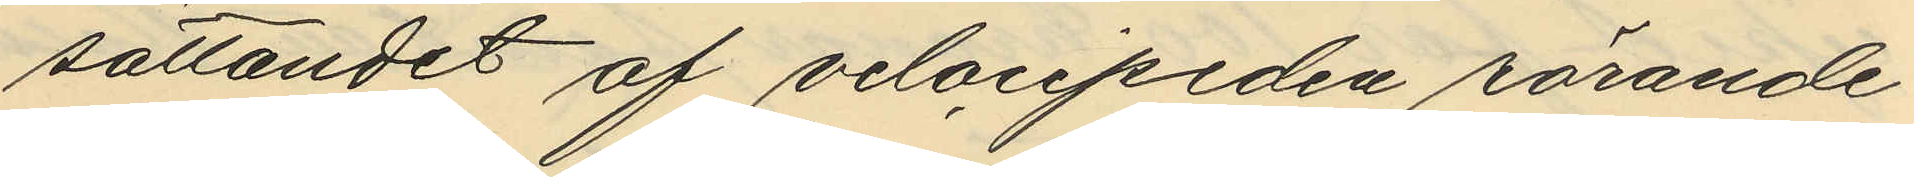sättandet af velocipeden rörande
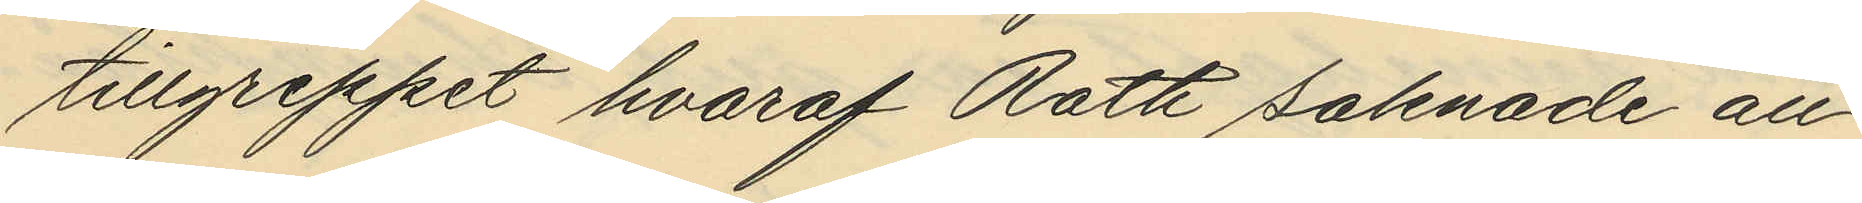tillgreppet hvaraf Roth saknade all¬
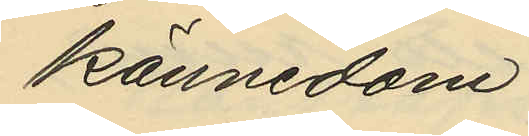kännedom.
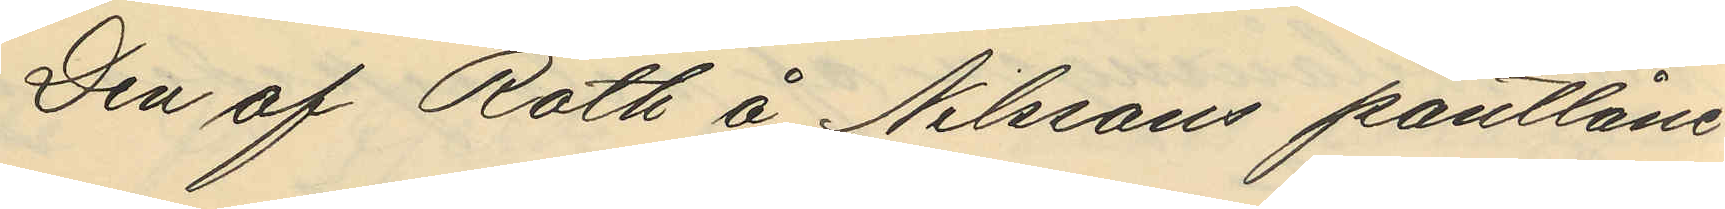Den af Roth å Nilssons pantlåne¬
